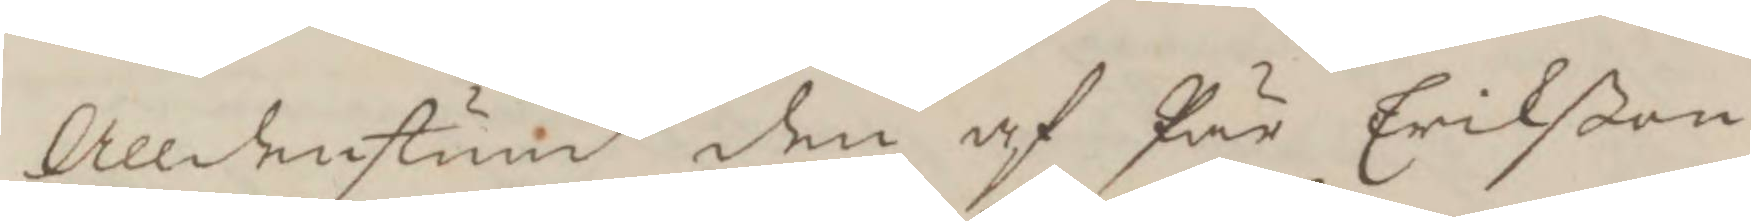Alldenstund den af Pär Erickßon
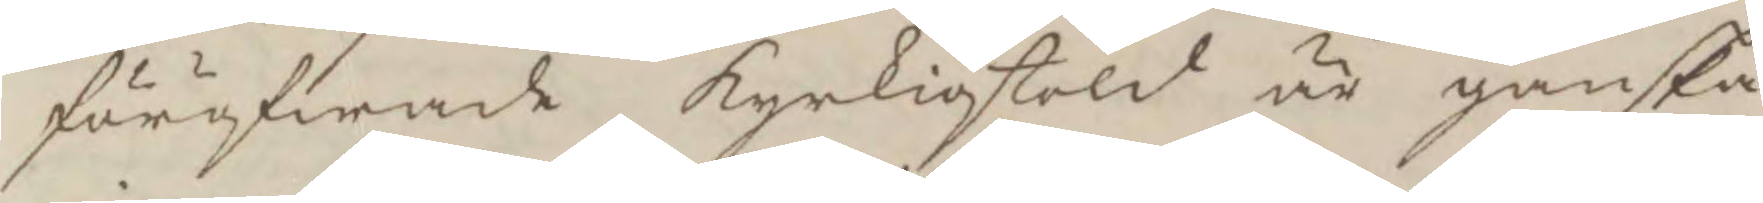föröfwade kyrkiostold är ganska
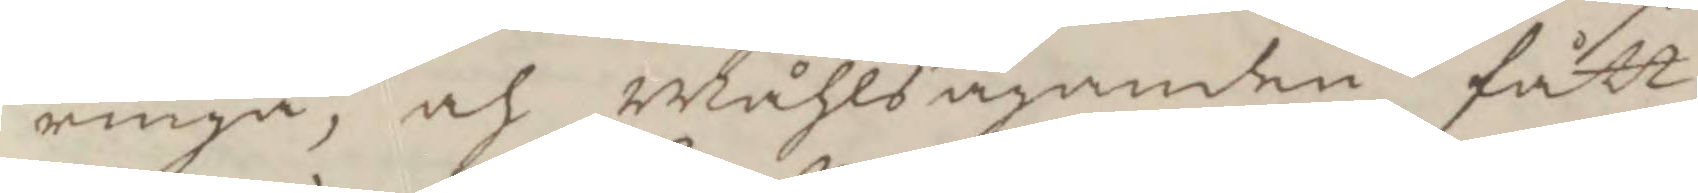ringa, och Måhlsäganden fått
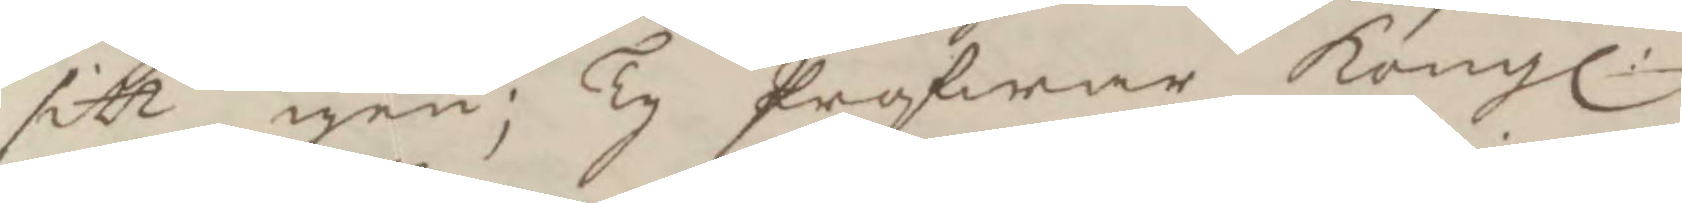sitt igen; Ty Profwar Kongl:
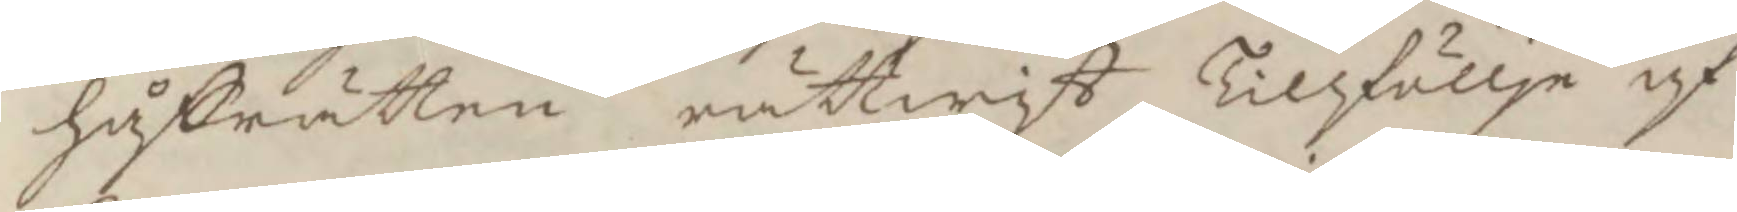håffrätten rättwist Tillföllje af
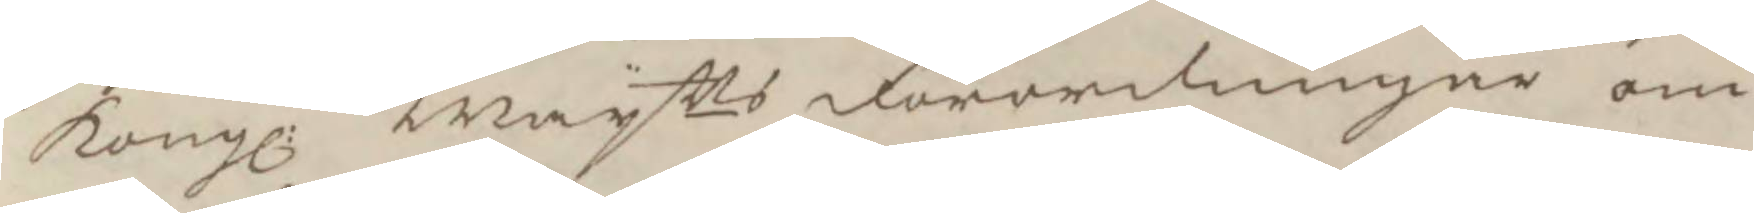Kongl: Maytts förordningar om
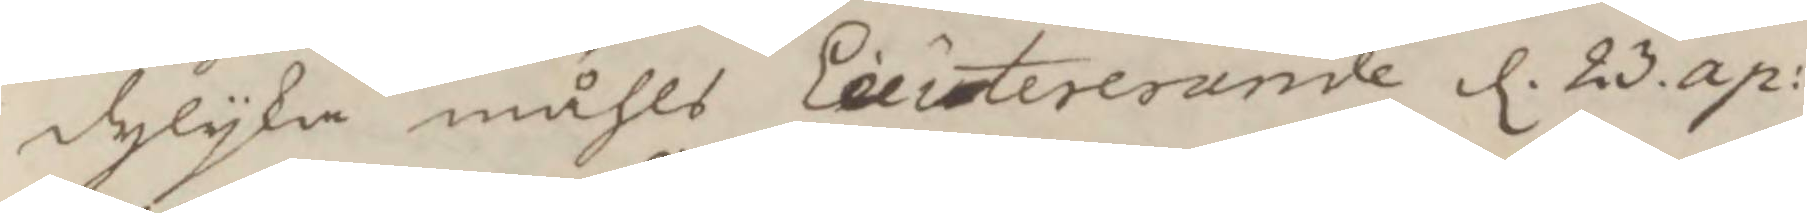dylika måhls Lecitererande d. 23. ap:
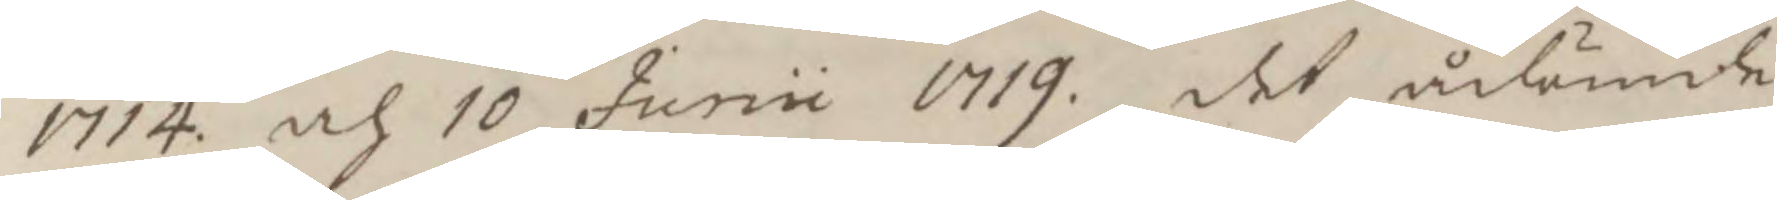1714 och 10 junii 1719. det ådömde
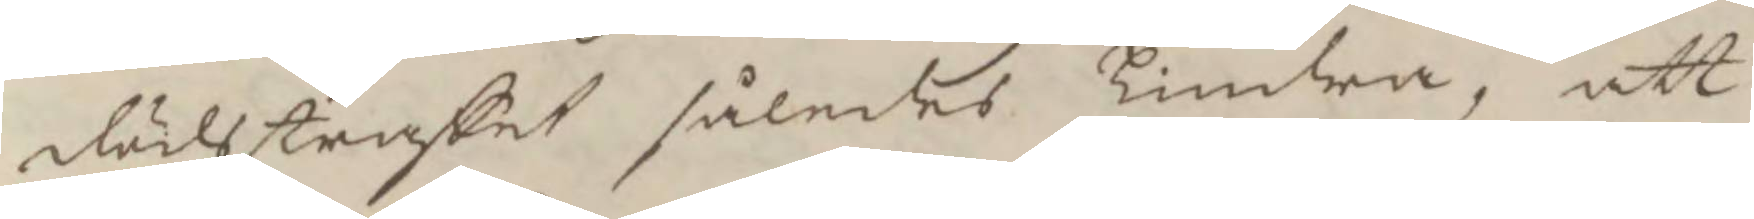dödsstraffet således Lindra, att
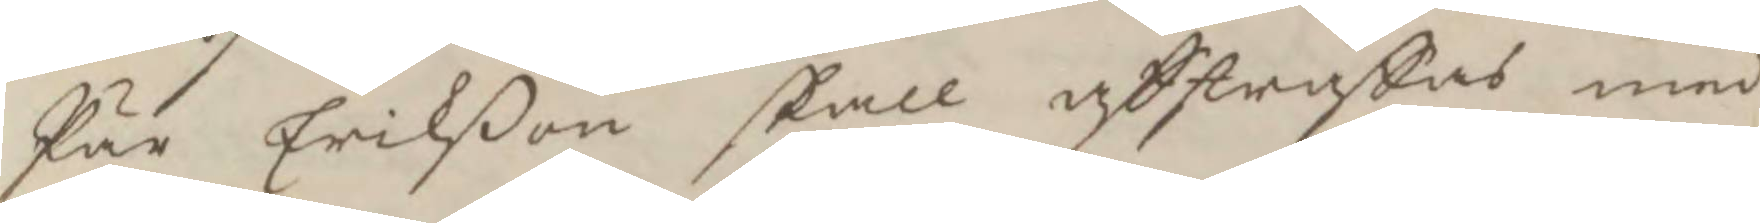Pär Erikßon skall afstraffas med
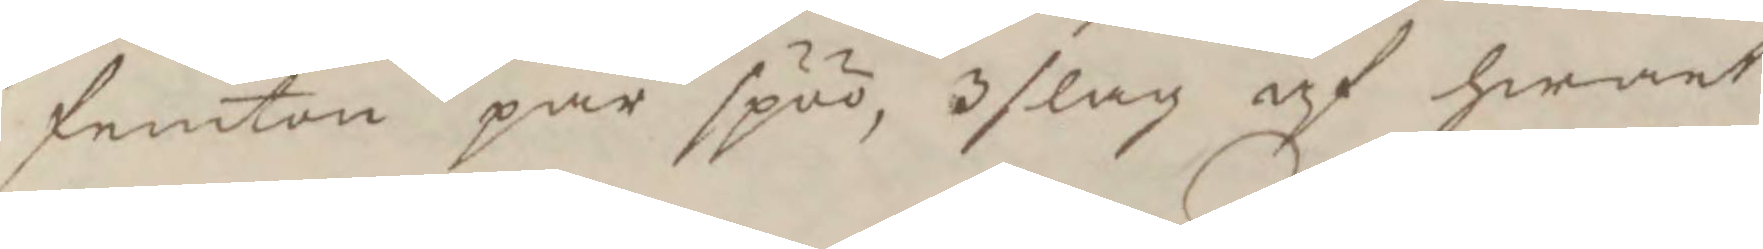femton par spöö, 3 slag af hwart
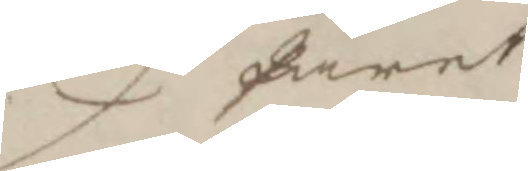paret
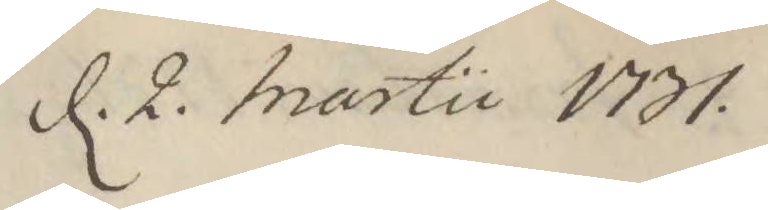d. 2. Martii 1731
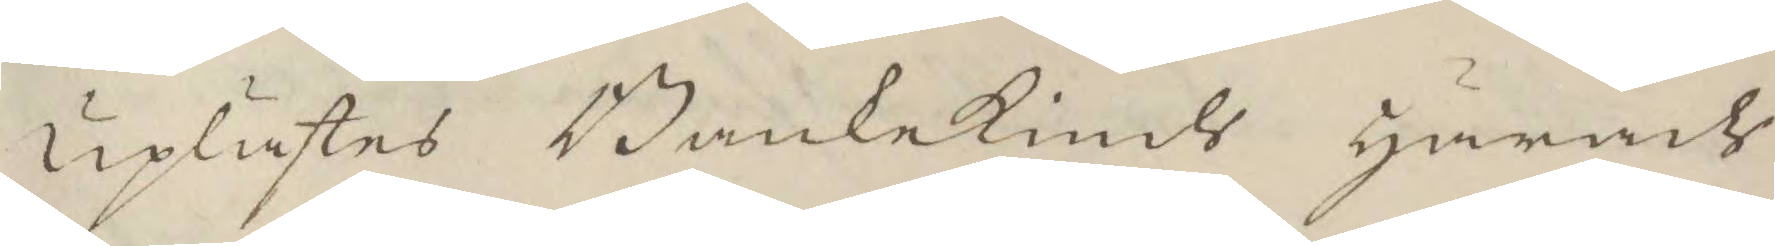uplästes Bankekinds härads
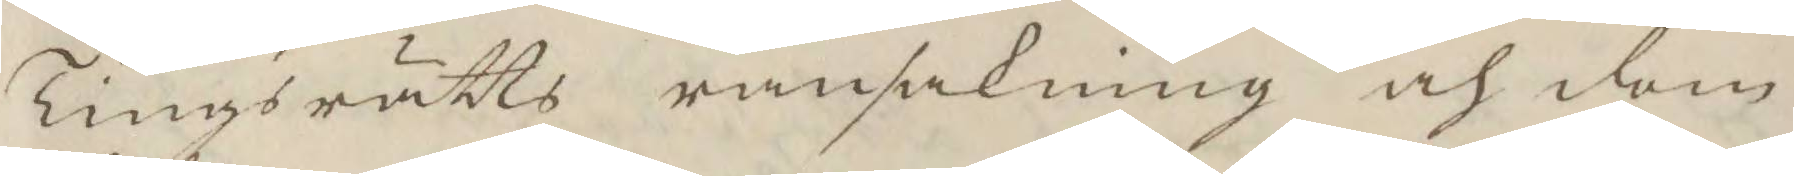Tingsrätts ransakning och dom
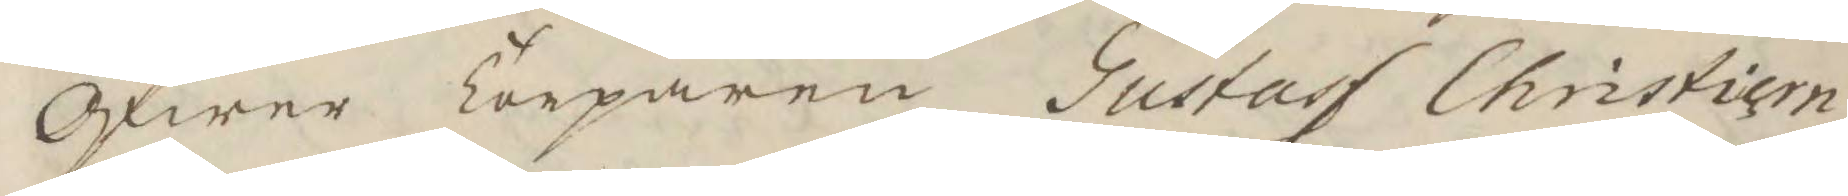Öfwer Torparen Gustaf Christiern¬
